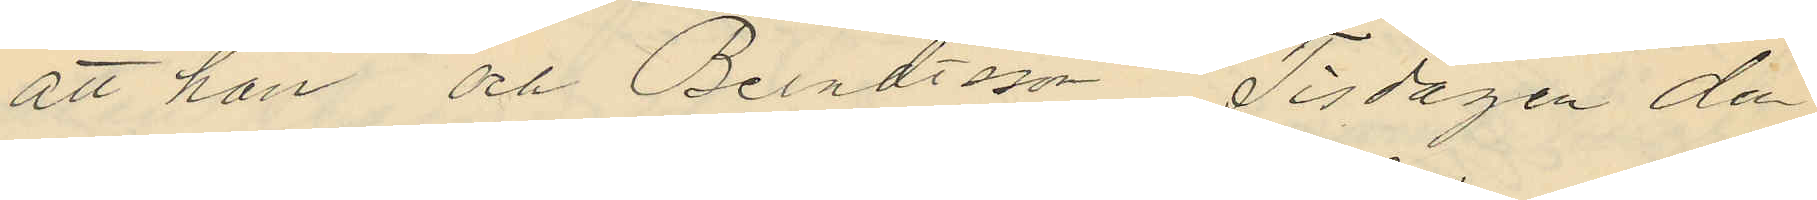att han och Berndtsson Tisdagen den
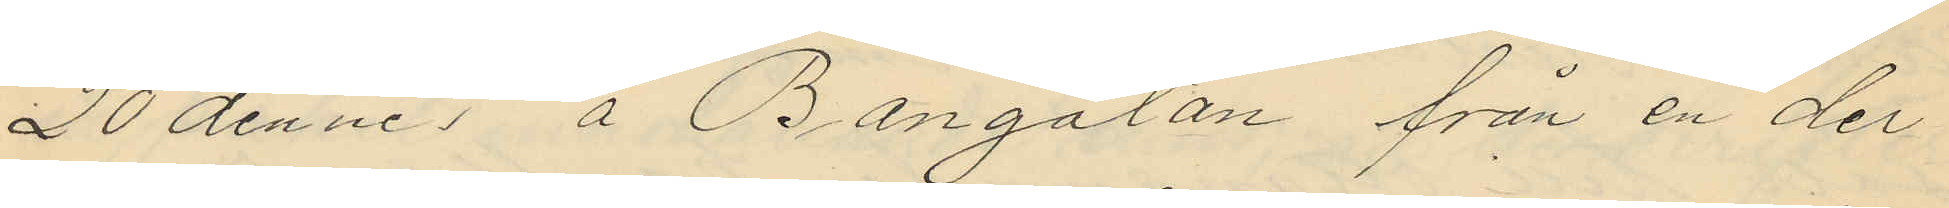20 dennes å Bangatan från en der
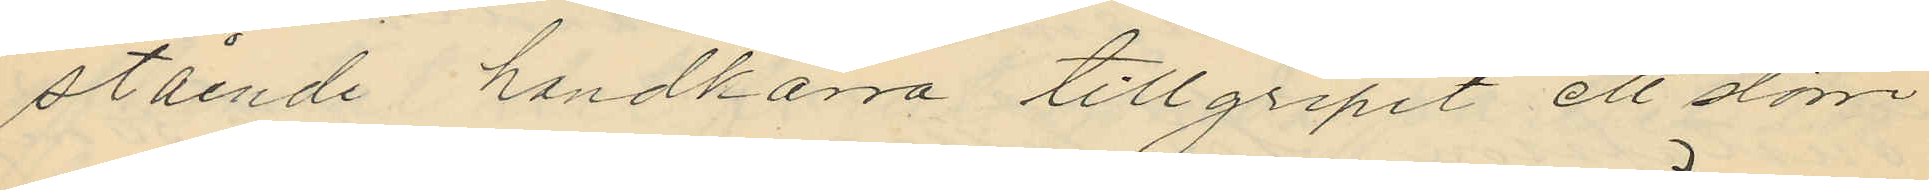stående handkärra tillgripit ett större
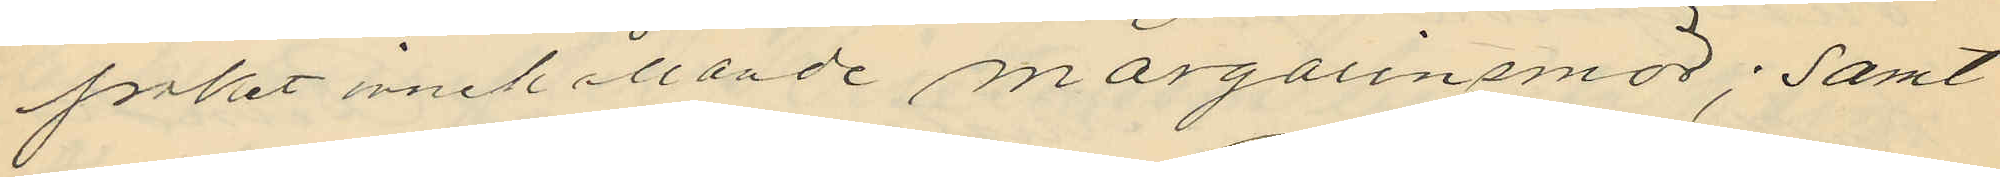paket innehållande margarinsmör; samt
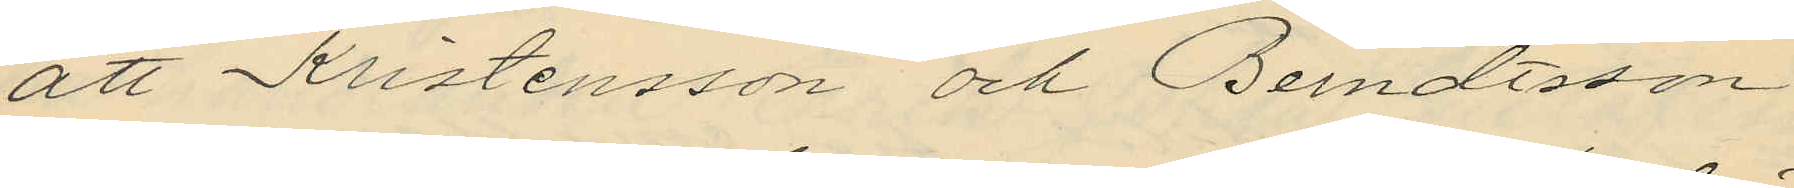att Kristensson och Berndtsson
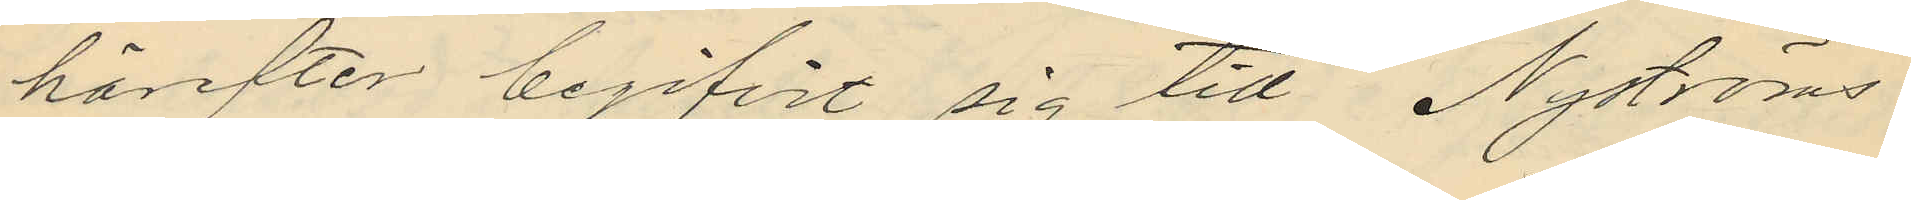härefter begifvit sig tidl Nyströms
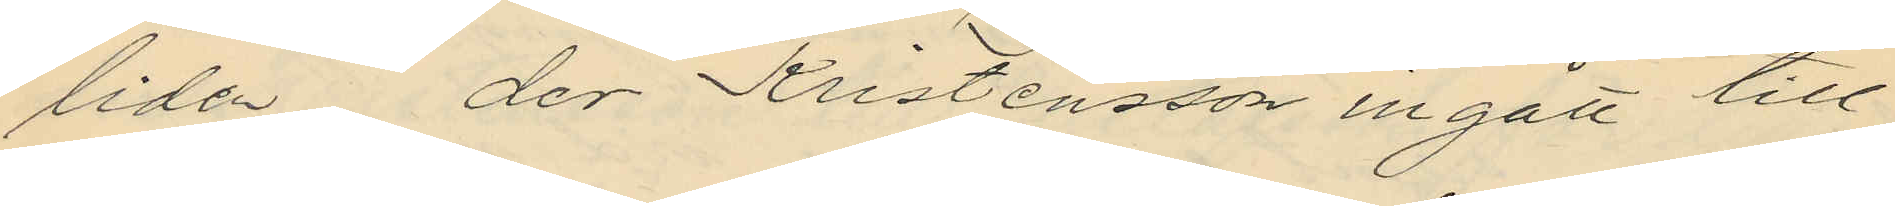liden der Kristensson ingått till
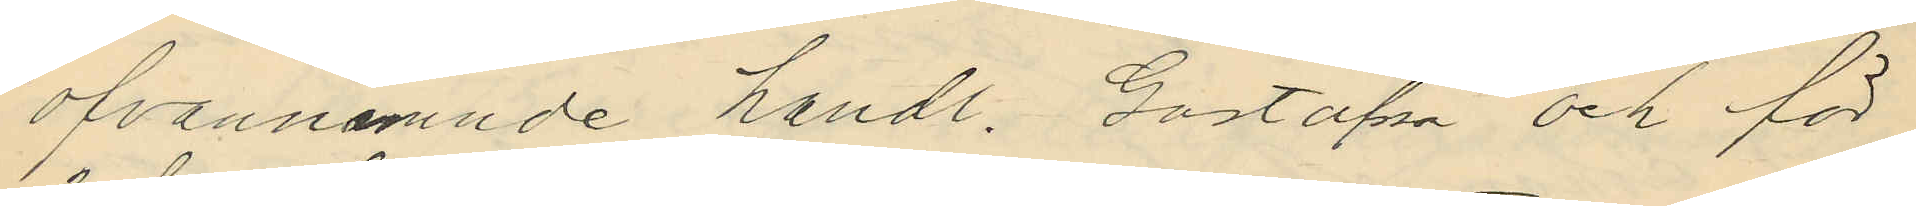ofvannämnde handl. Gustafsson och för
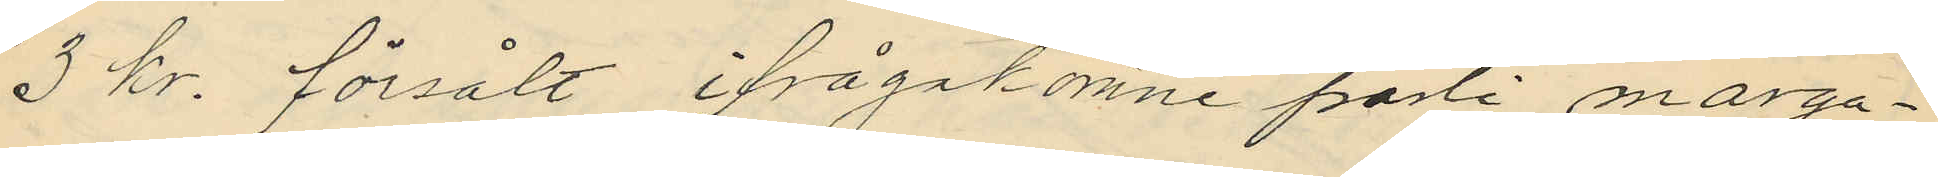3 kr. försålt ifrågakomne parti marga¬
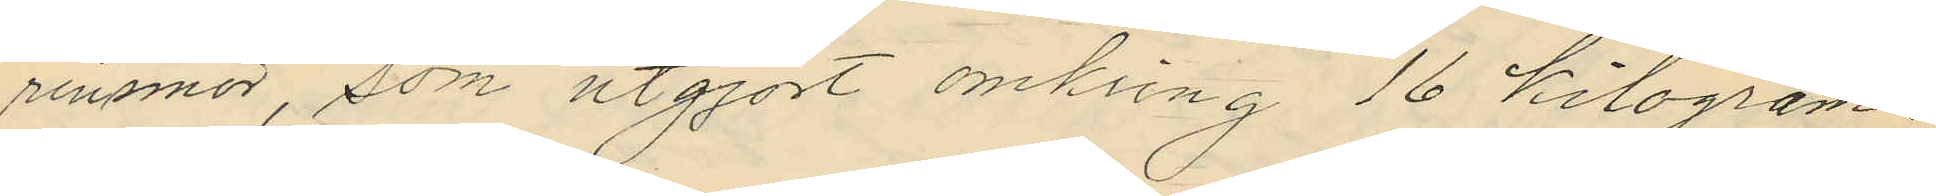rinsmör, som utgjort omkring 16 kilogram.
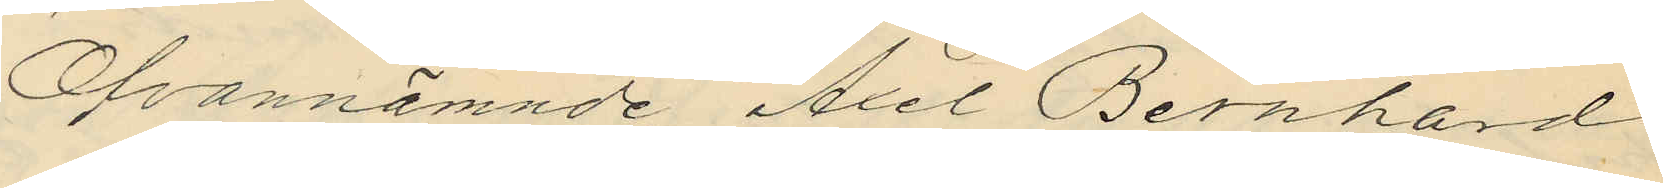Ofvannämnde Axel Bernhard
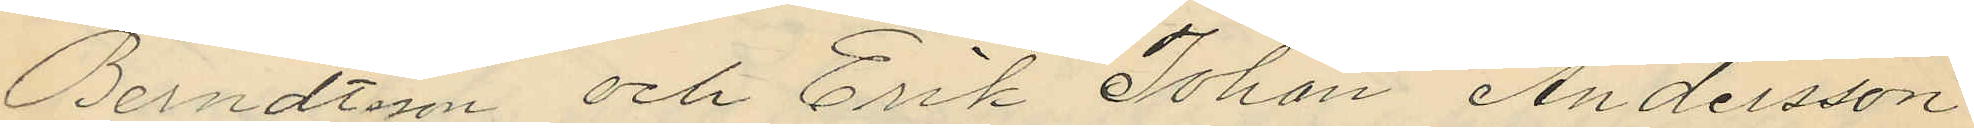Berndtson och Erik Johan Andersson
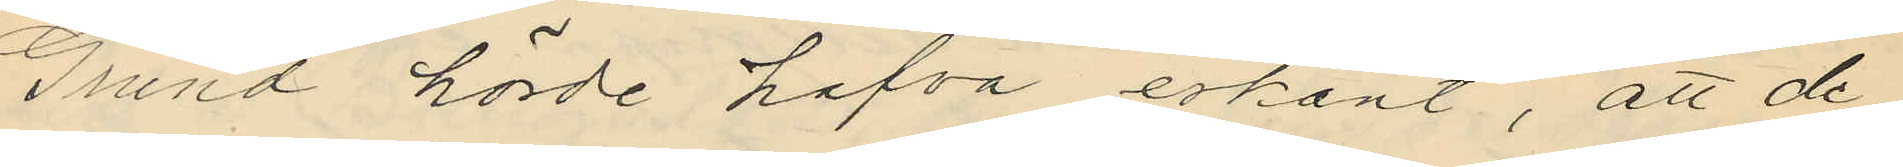Grund hörde hafva erkänt, att de
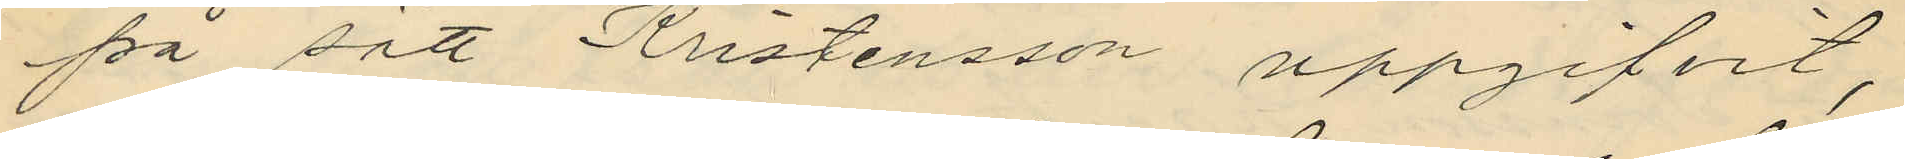på sätt Kristensson uppgifvit,
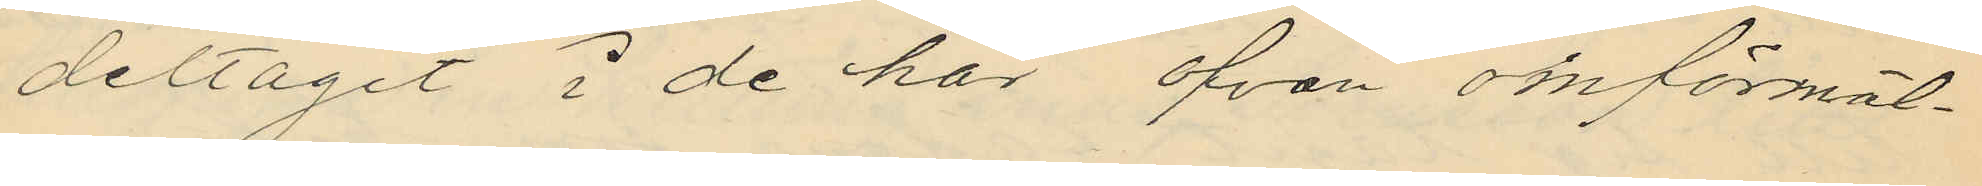deltagit i de här ofvan omförmäl¬
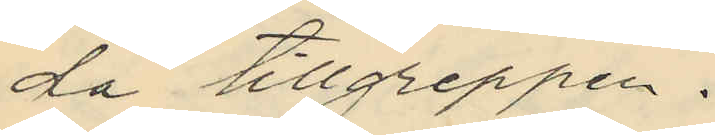da tillgreppen.
